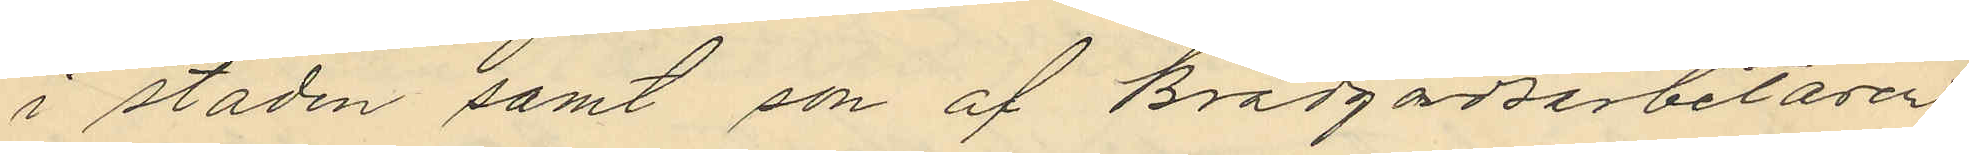i staden samt son af Brädgårdsarbetaren
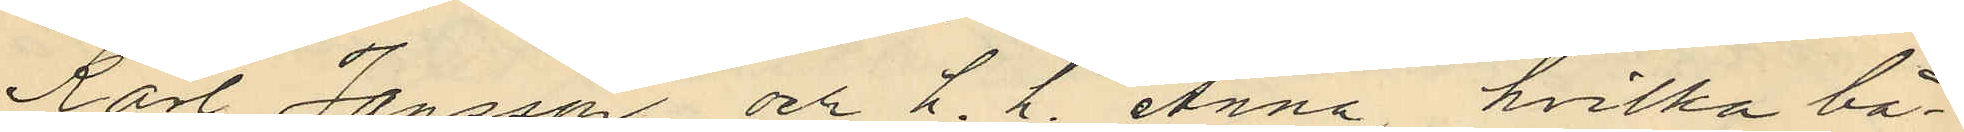Karl Jansson och h. h. Anna, hvilka bå¬
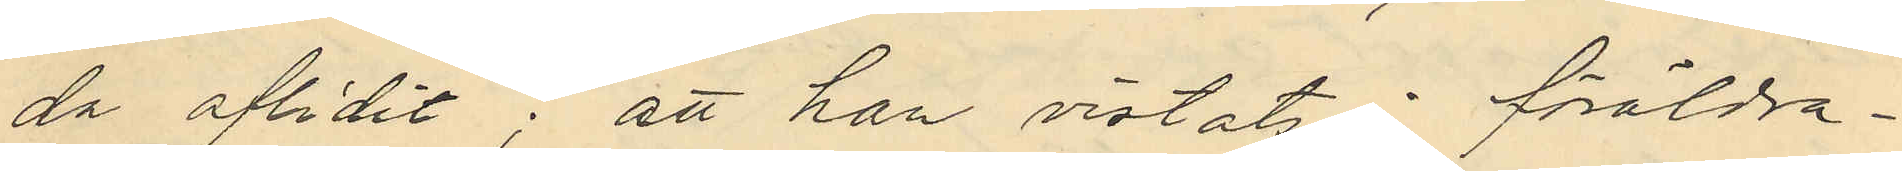da aflidit; att han vistats i föräldra¬
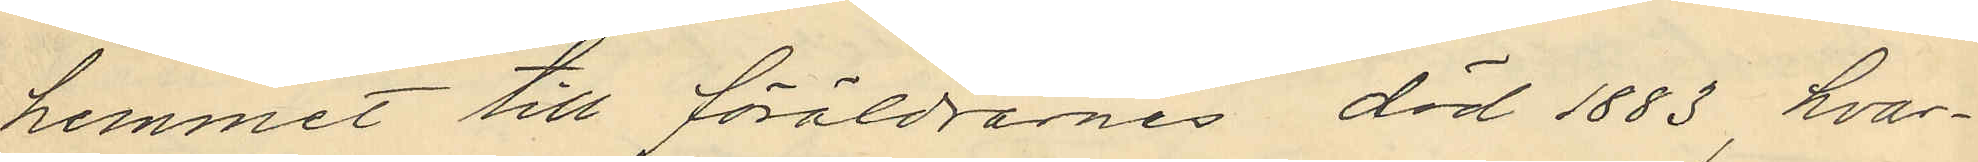hemmet till föräldrarnes död 1883, hvar¬
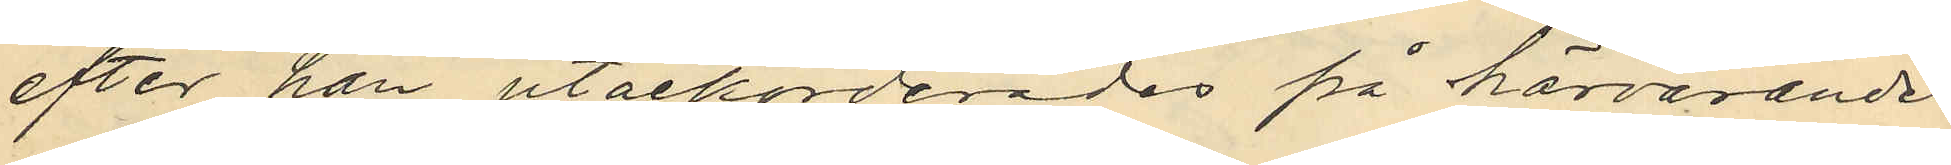efter han utackorderades på härvarande
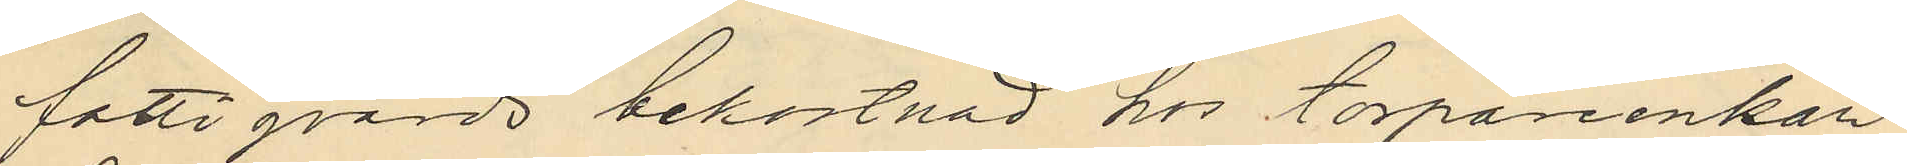fattigvårds bekostnad hos torpareenkan
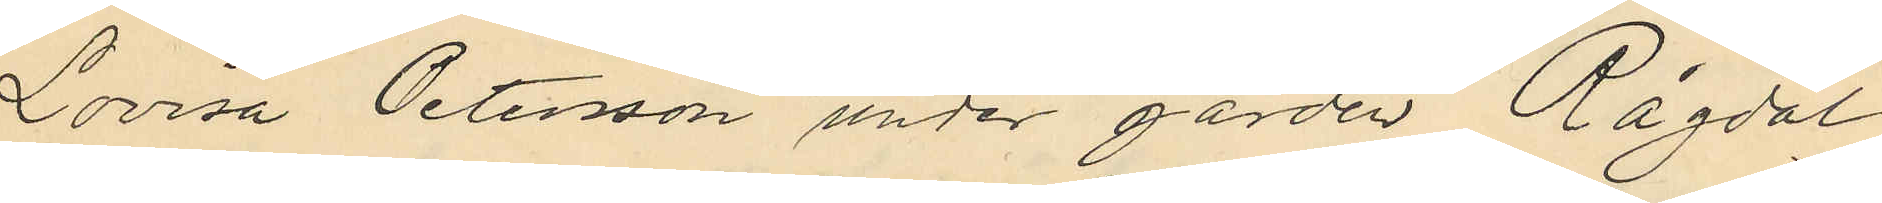Lovisa Petersson under gården Rågdal
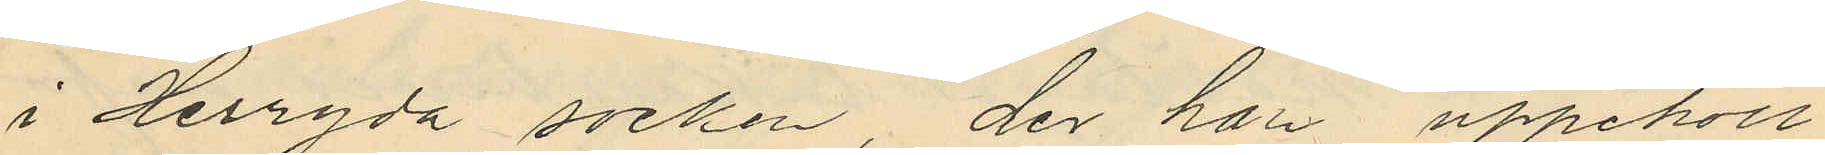i Herryda socken, der han uppehöll
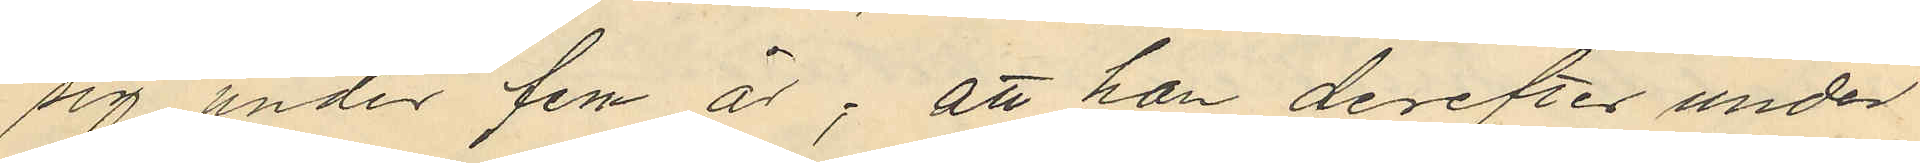sig under fem år; att han derefter under
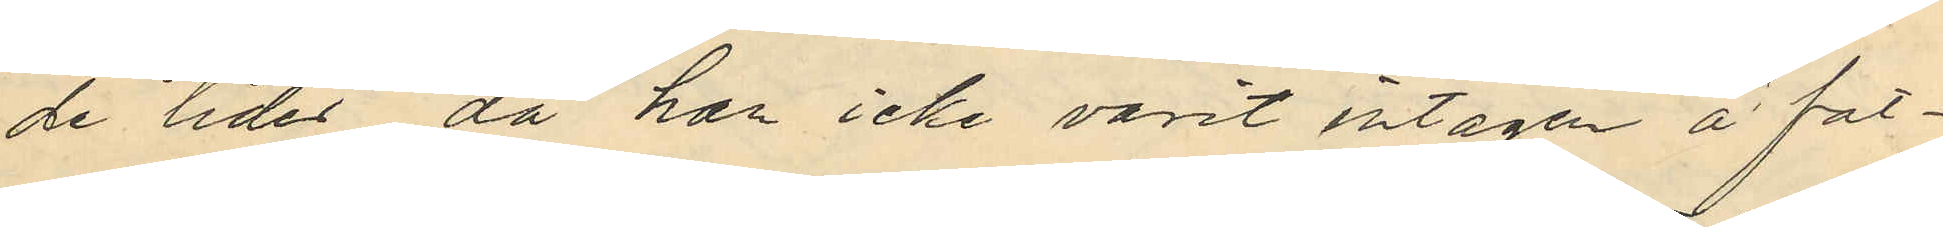de tider, då har icke varit intagen å fat¬
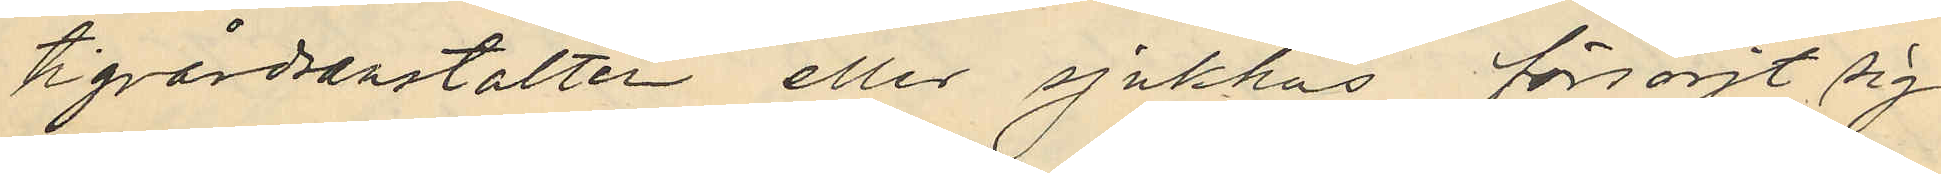tigvårdsanstalten eller sjukhus försörjt sig
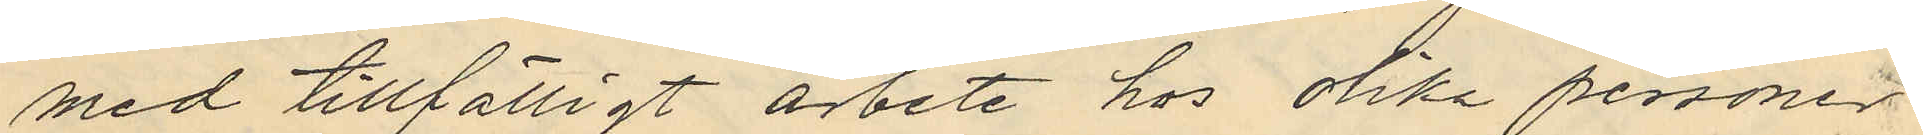med tillfälligt arbete hos olika personer
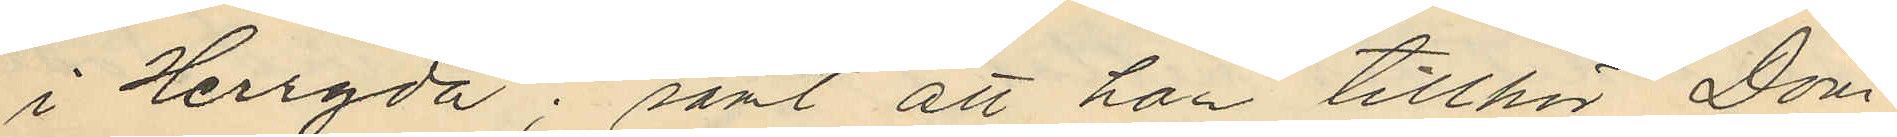i Herryda; samt att han tillhör Dom¬
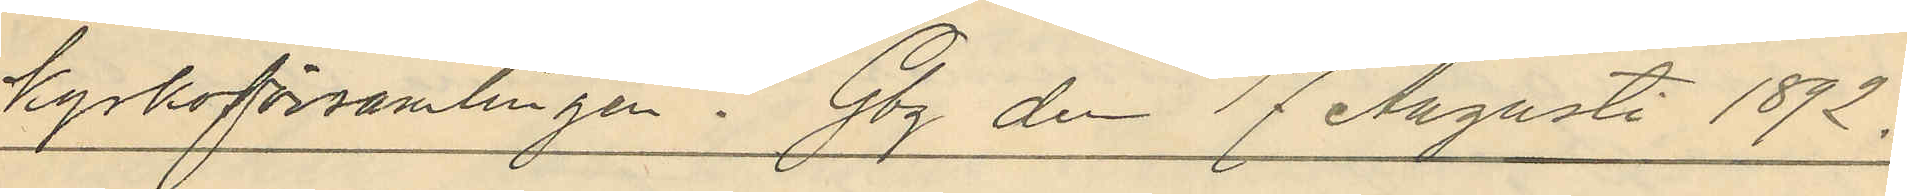kyrkoförsamlingen. Gbg den 17 Augusti 1872.
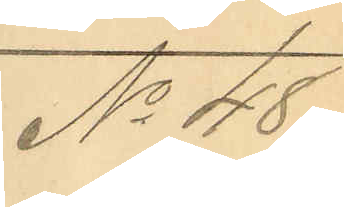No 48.
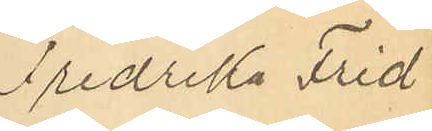Fredrika Frid
